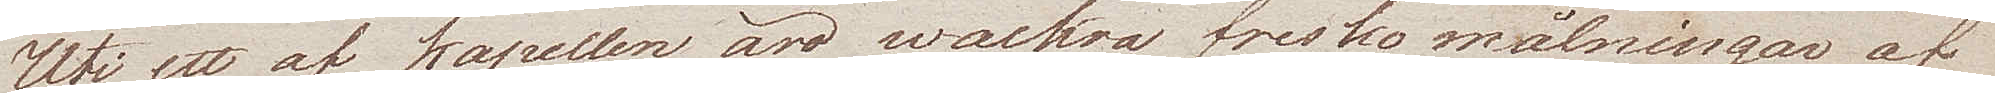Uti ett af kapellen äro wackra fresko målningar af
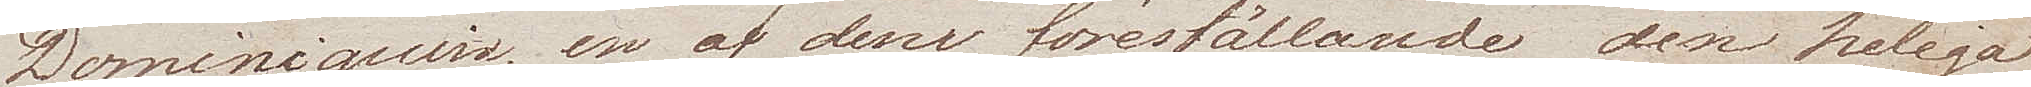Dominiquino, en af dem föreställande den heliga
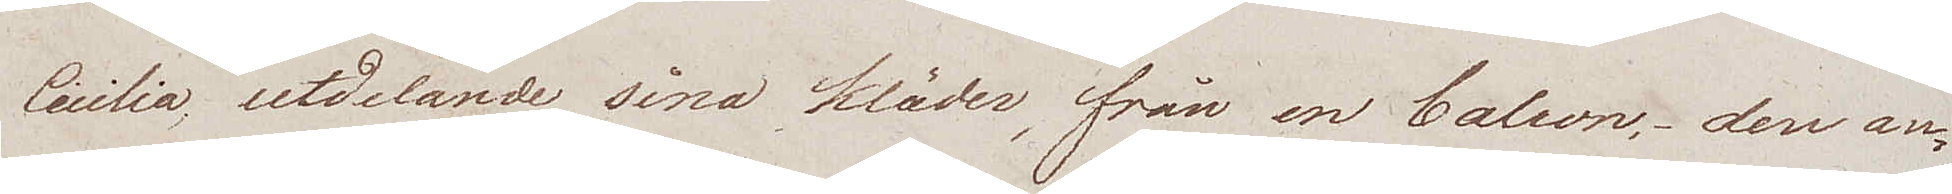Cecilia, utdelande sina kläder, från en balcon, den an¬
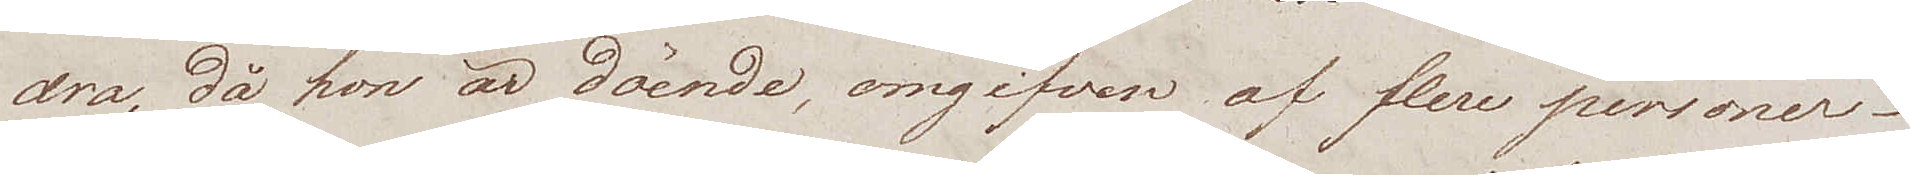dra, då hon är döende, omgifven af flere personer.
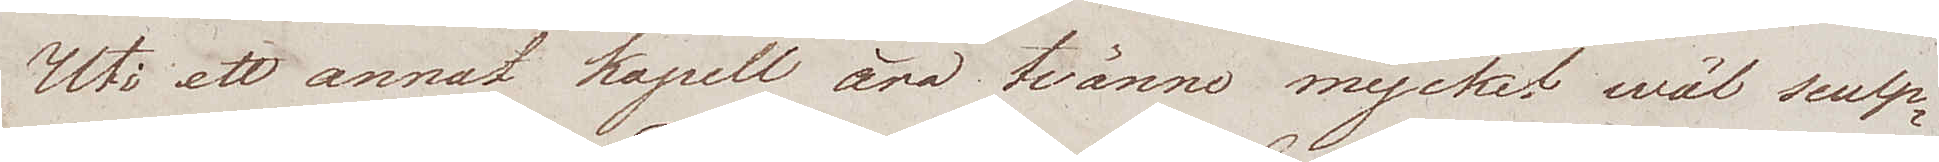Uti ett annat kapell äro tvänne mycket wäl sculp¬
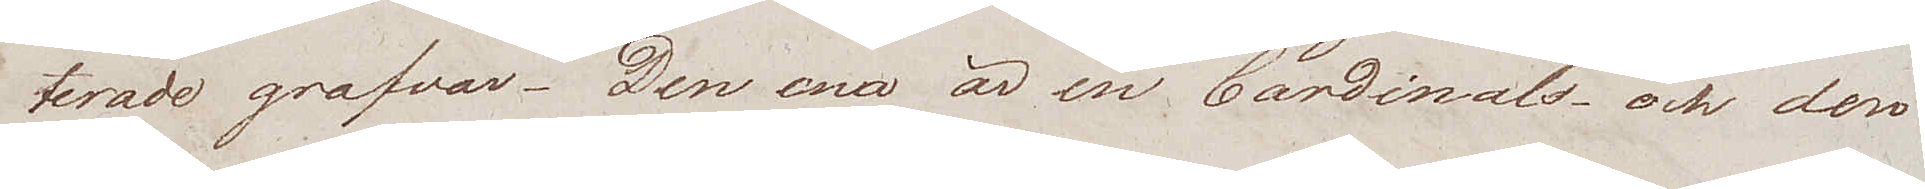terade grafvar. Den ena är en Cardinals – och den
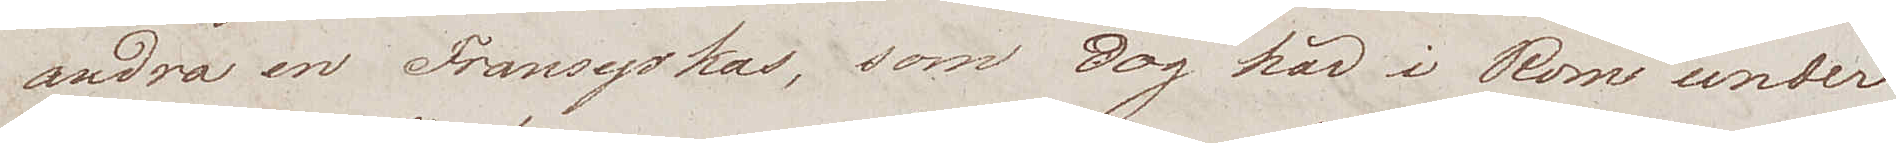andra en Fransyskas, som dog här i Rom under
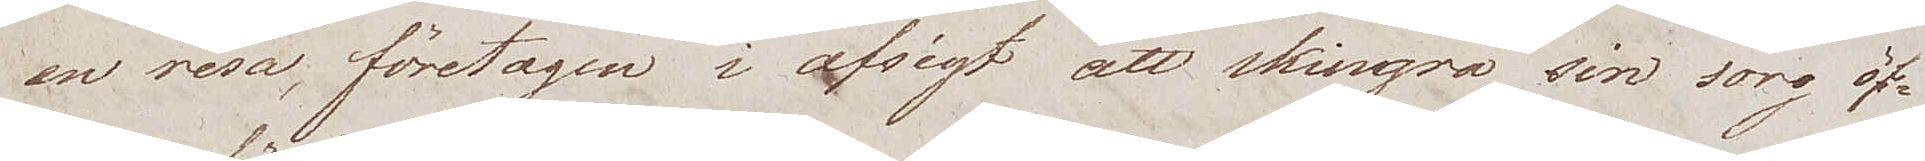en resa, företagen i afsigt att skingra sin sorg öf¬
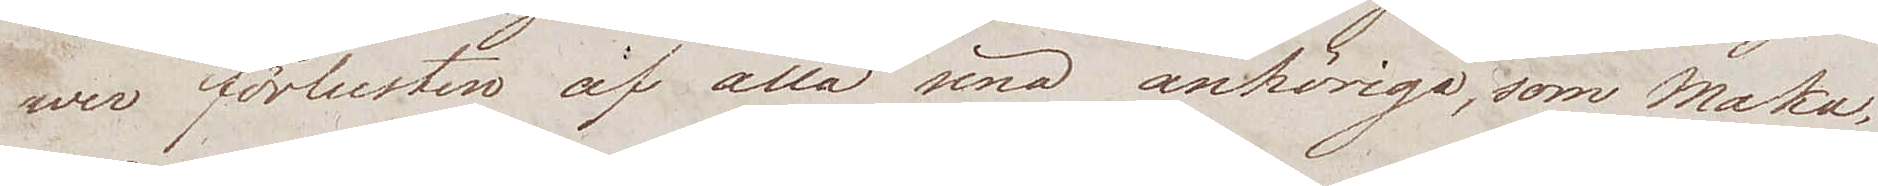wer förlusten af alla sina anhöriga, som Maka,
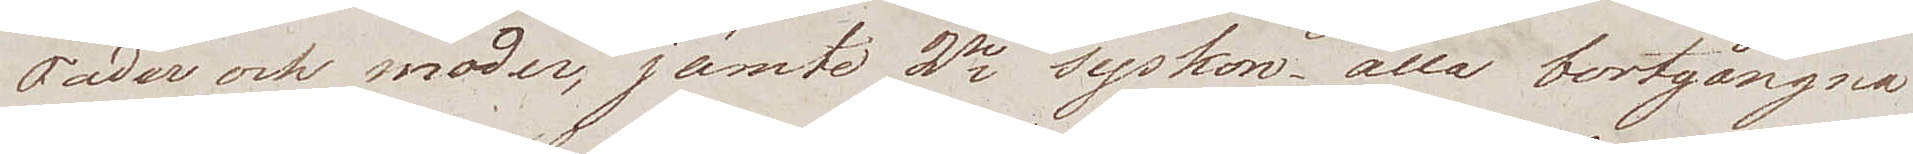Fader och moder, jämte 2ne syskon, alla bortgångna
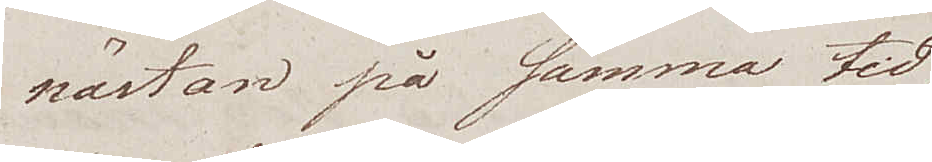nästan på samma tid,
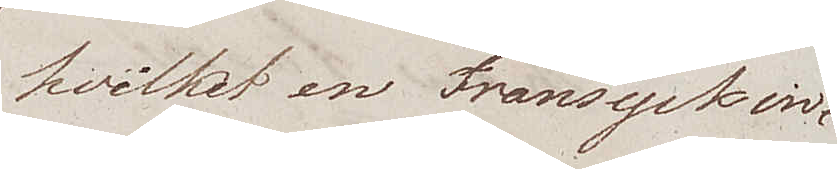hvilket en Fransysk in¬
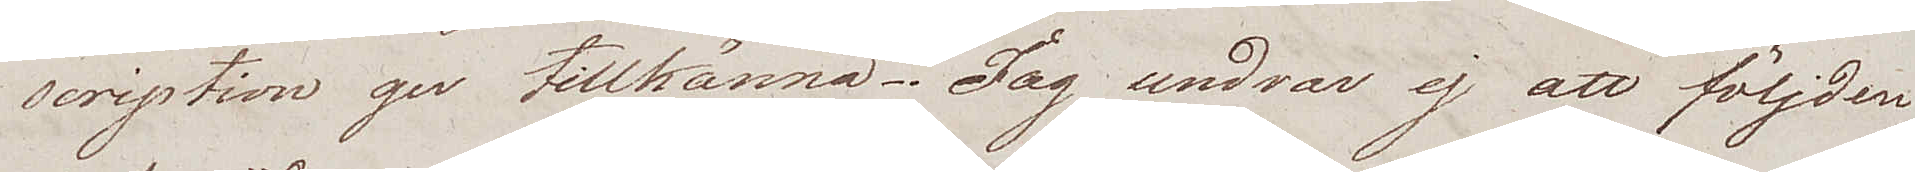scription ger tillkänna. Jag undrar ej att följden
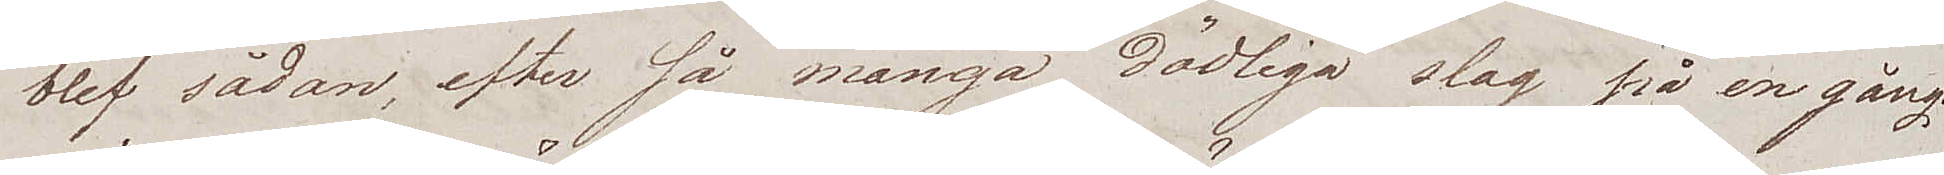blef sådan, efter så många dödliga slag på en gång.
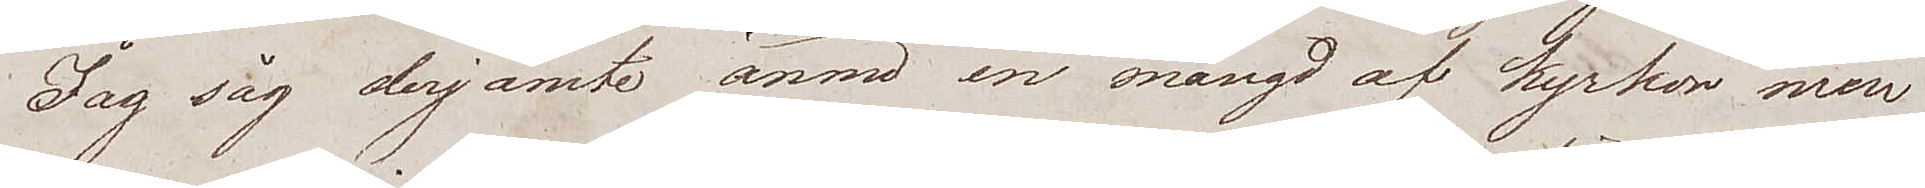Jag såg derjämte ännu en mängd af kyrkor men
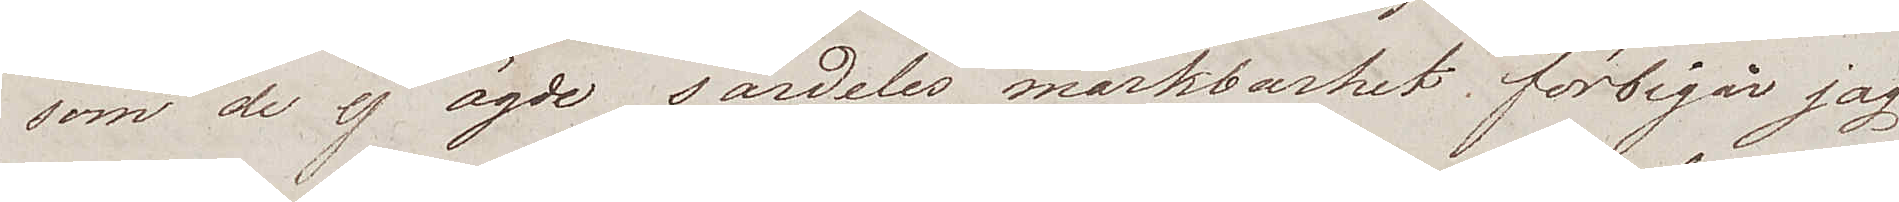som de ej ägde särdeles märkbarhet förbigår jag
